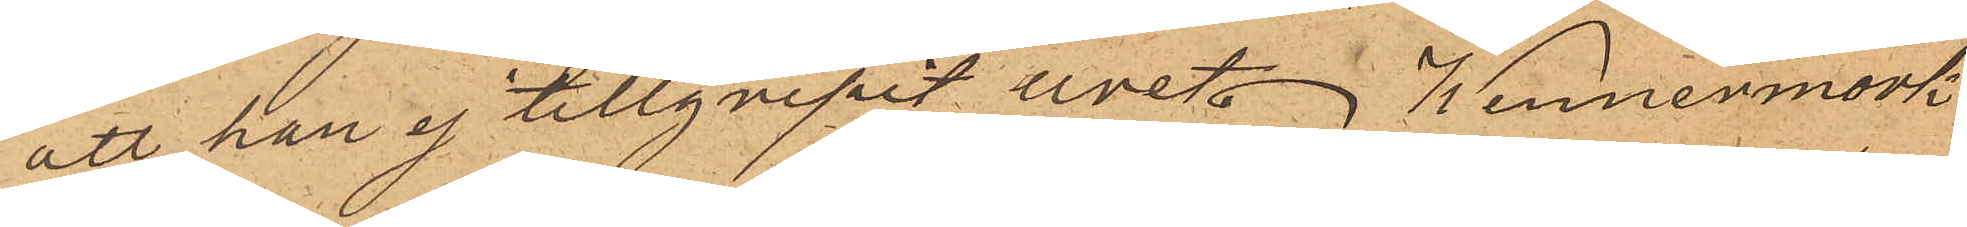att han ej tillgripit uret. Wennermark
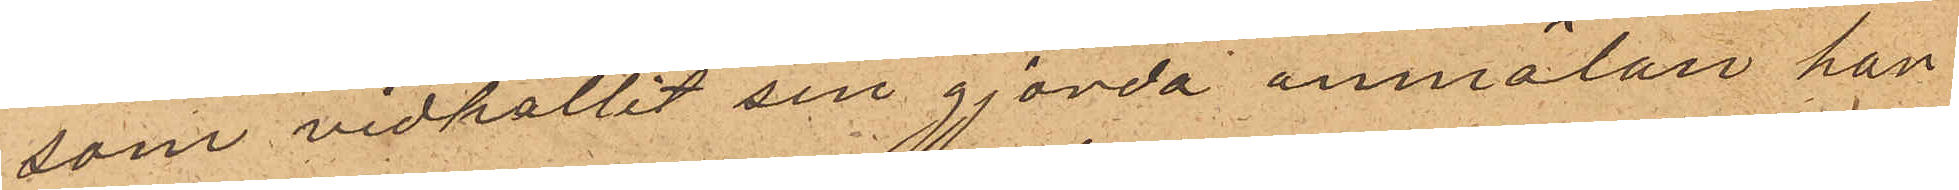som vidhållit sin gjorda anmälan har
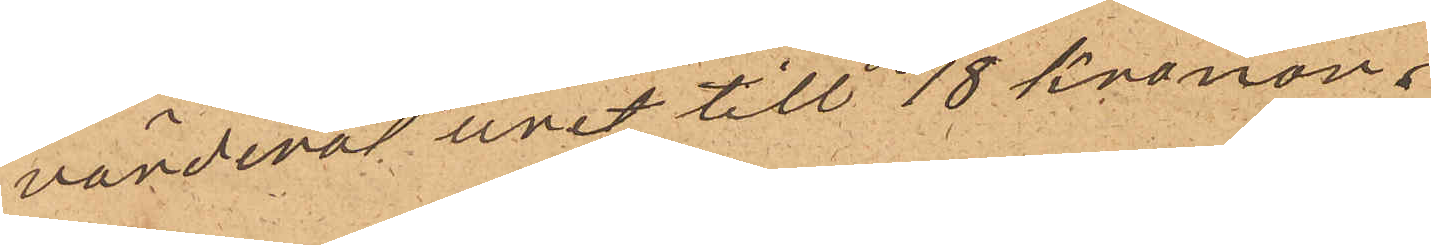värderat uret till 18 kronor;
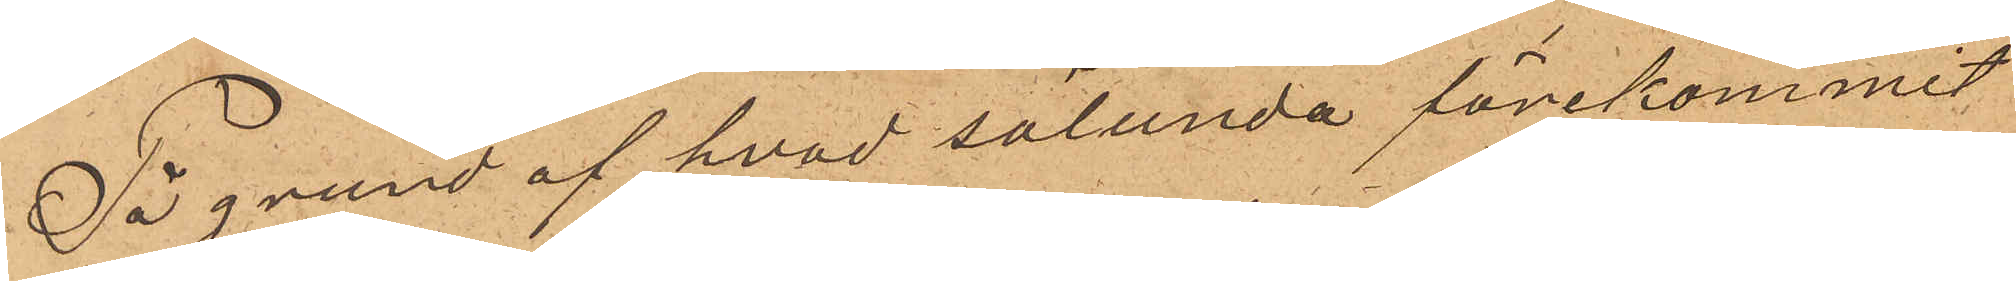På grund af hvad sålunda förekommit
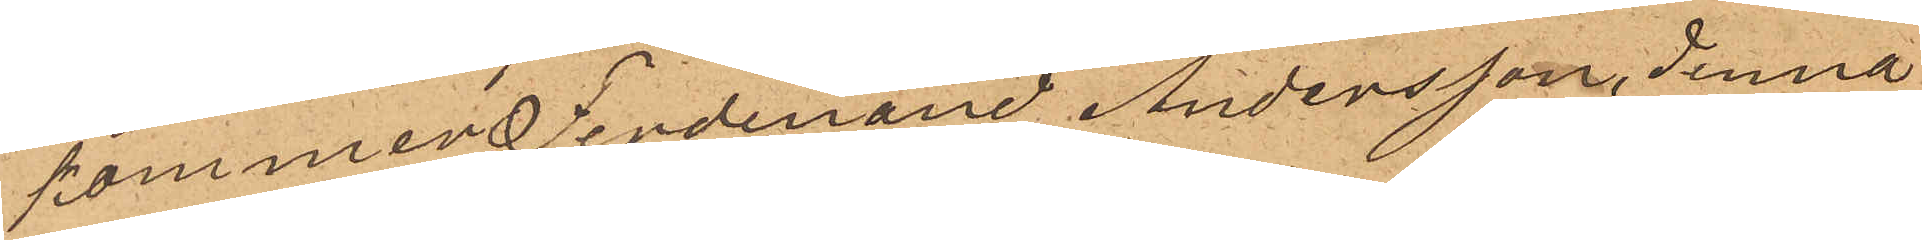kommer Ferdinand Andersson, denna
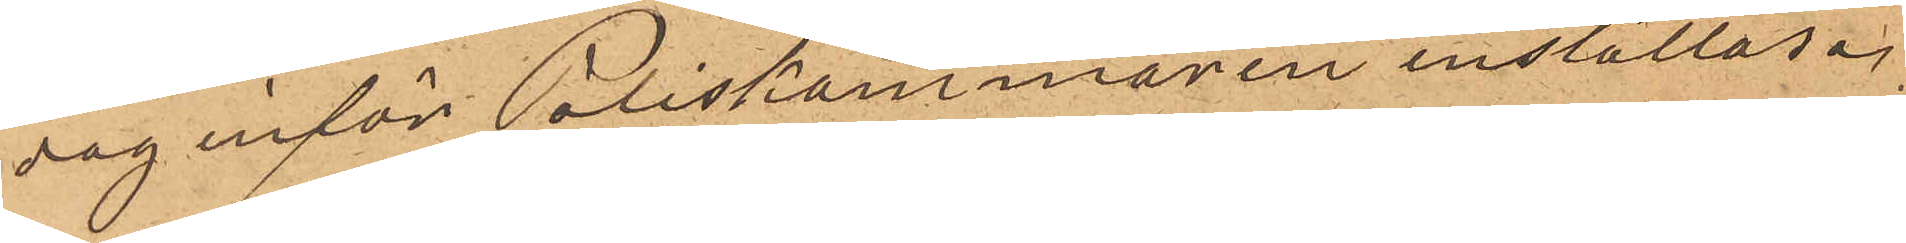dag inför Poliskammaren inställas.
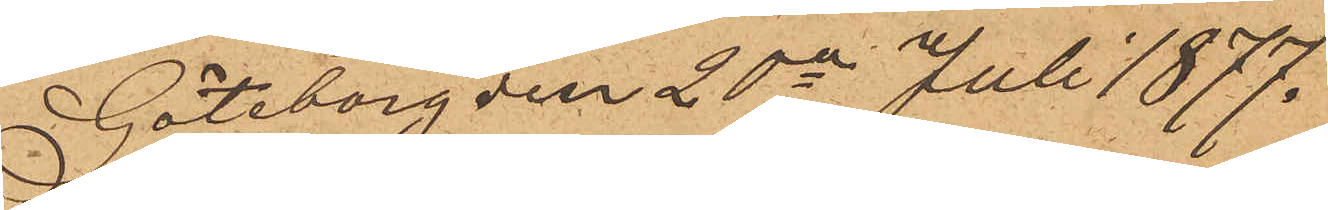Göteborg den 20e Juli 1877.
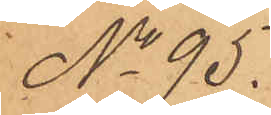No 95.
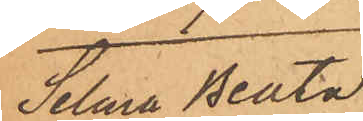Selma Beata
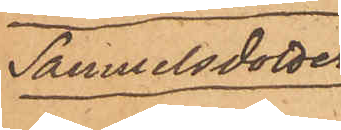Samuelsdotter
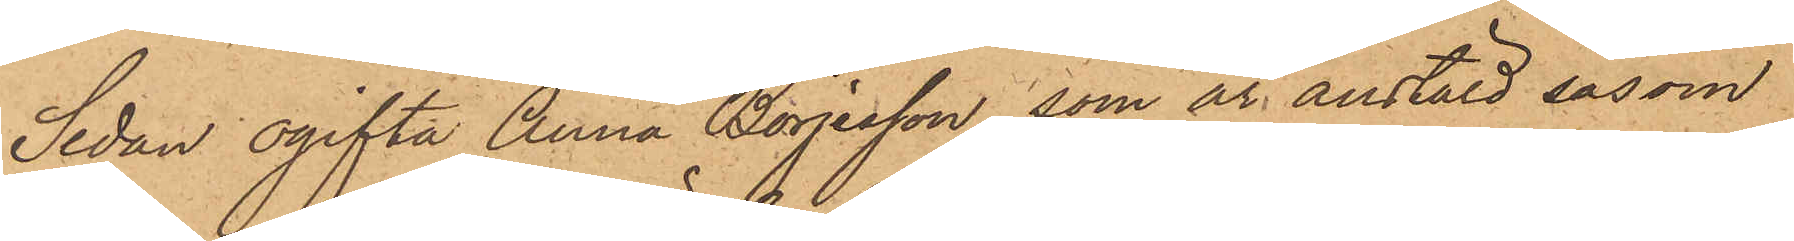Sedan ogifta Anna Börjesson, som är anstäld såsom
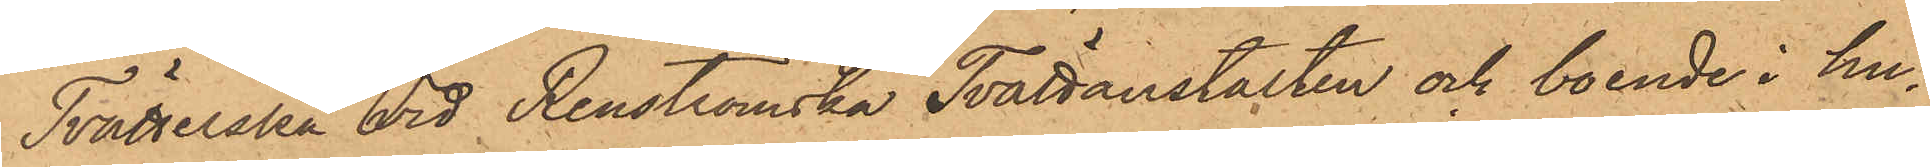Tvätterska vid Renströmska Tvättanstalten och boende i hu¬
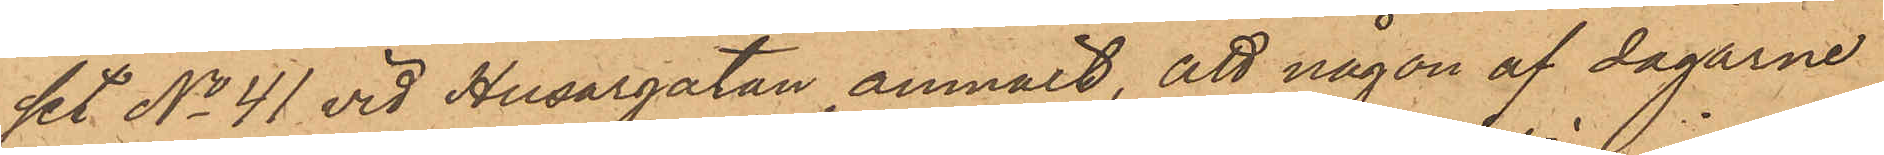set No 41 vid Husargatan anmält, att någon af dagarne
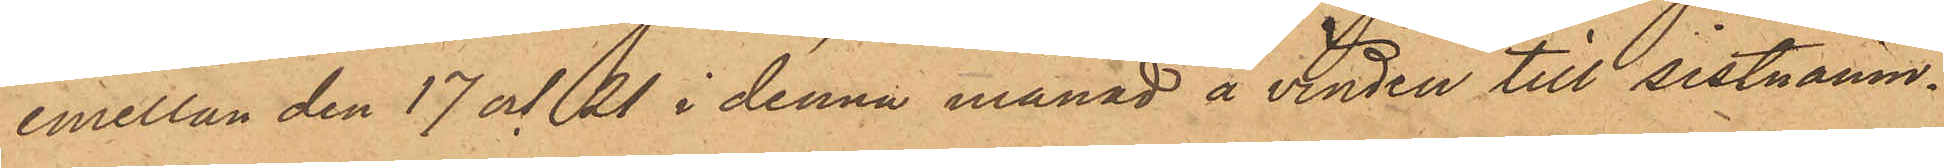emellan den 17 och 21 i denna månad å vinden till sistnämn¬
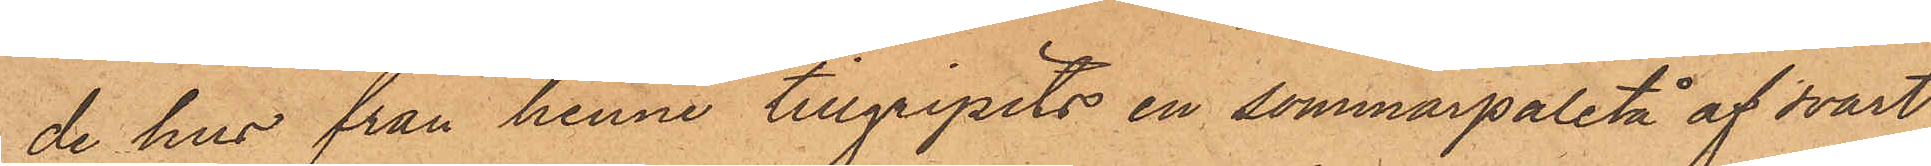de hus från henne tillgripits en sommarpaletå af svart
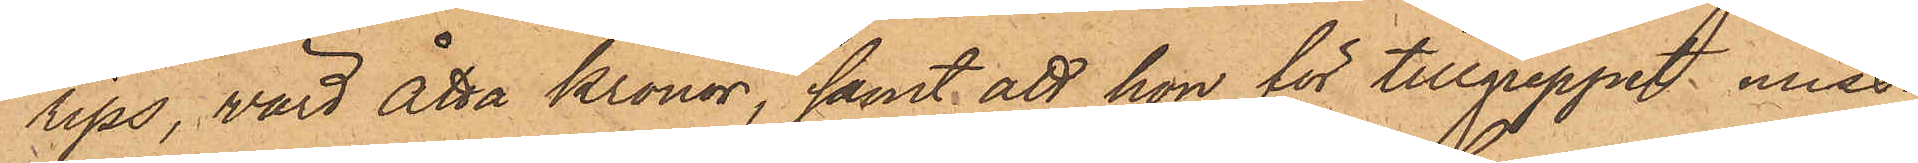rips, värd åtta Kronor, samt att hon för tillgreppet miss¬
